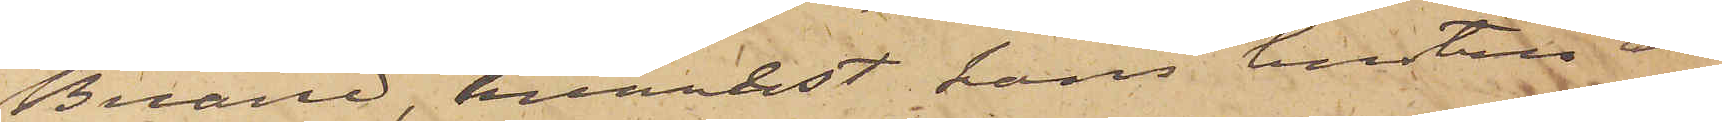Buared, hvarest hans hustru är
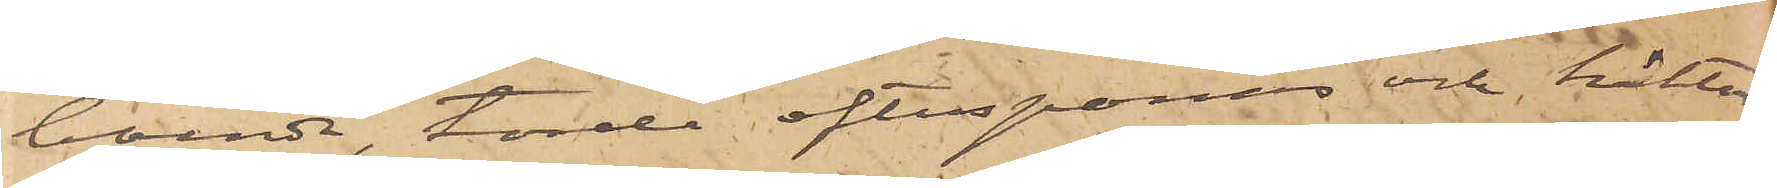boende, torde efterspanas och häktas
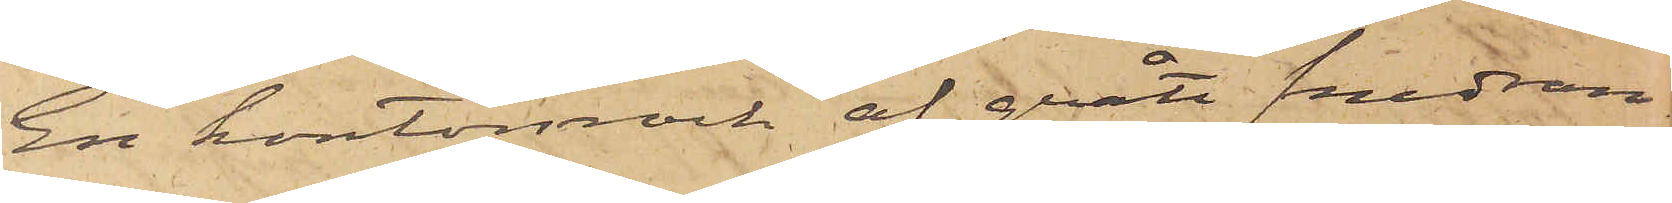En kontorsrock af grått snedran¬
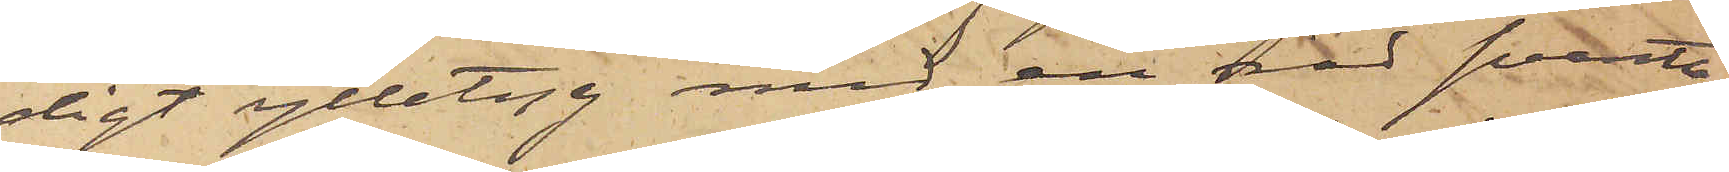digt ylletyg med en rad svarta
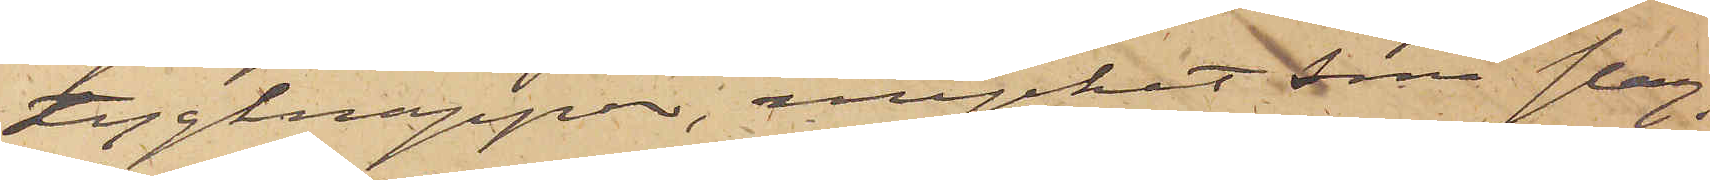tygknappar, mycket små slag,
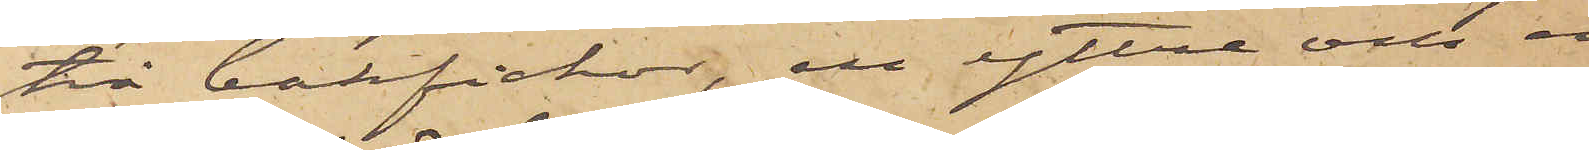två bakfickor, en yttre och en
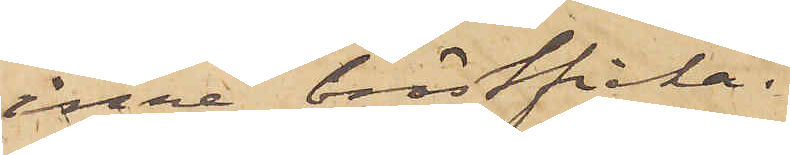inre bröstficka.
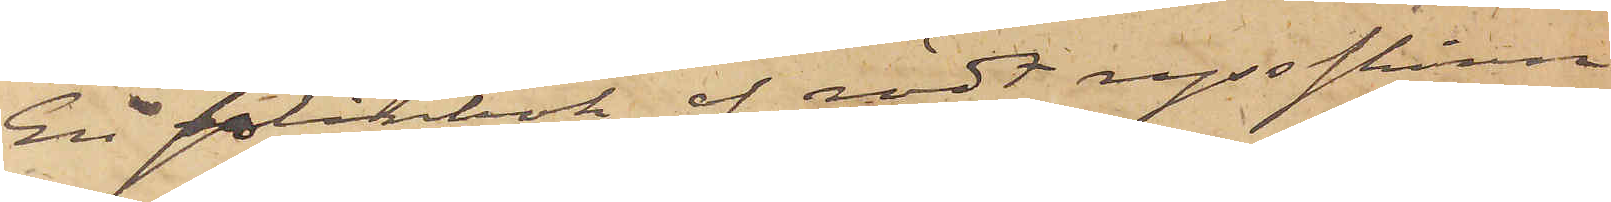En plånbok af rödt ryssskinn
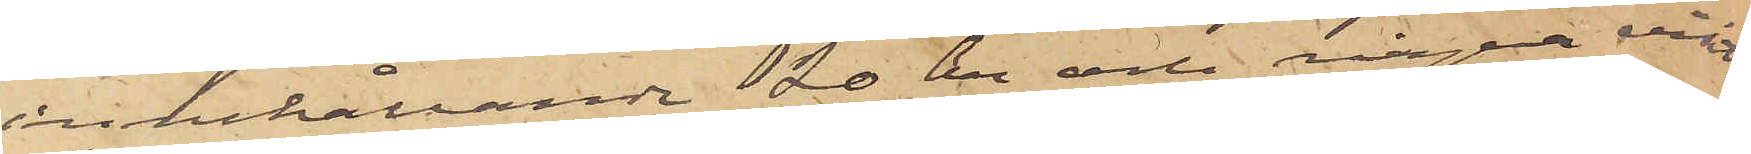innehållande 120 öre och några visit¬
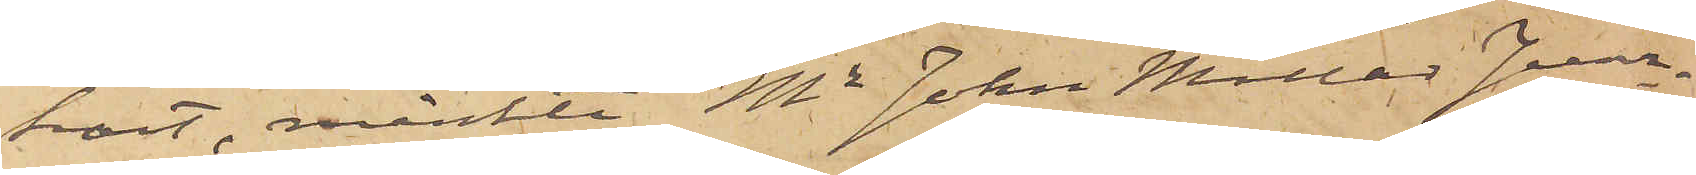kort, märkte "Mr John Millar Junr,
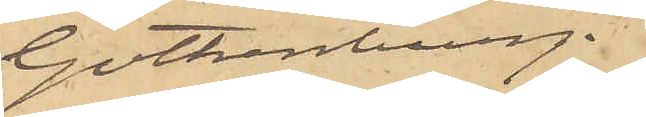Gothenburg."
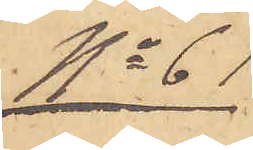No 61
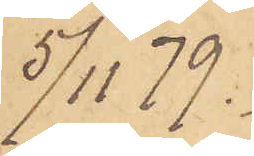5/11 79.
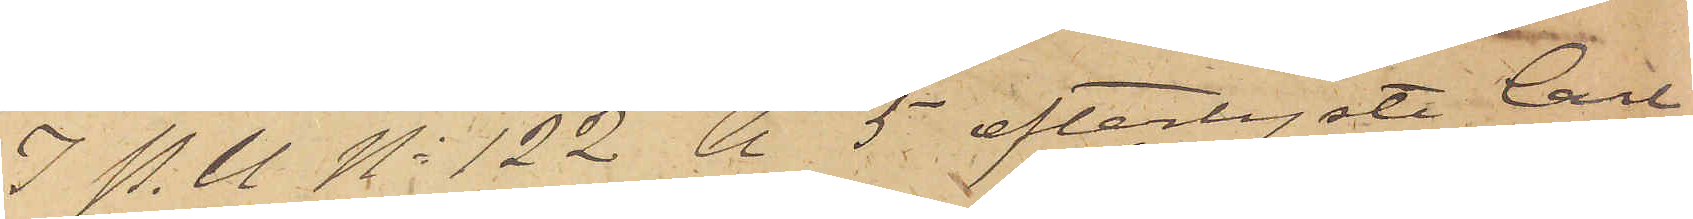I P.U. No 122 A 5 efterlyste Call
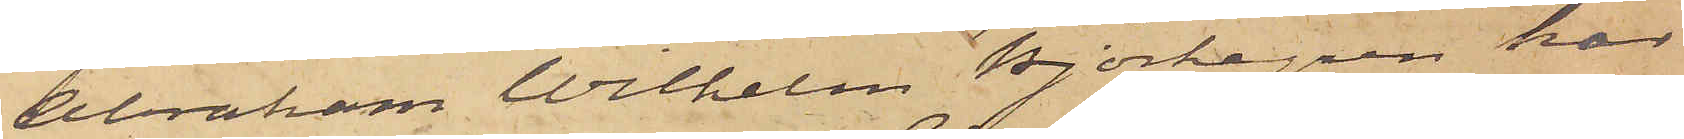Abraham Wilhelm Björkegren har
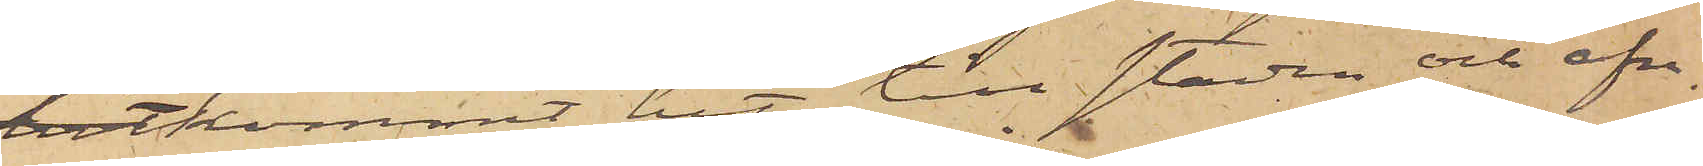hitkommit hit till staden och afre¬
